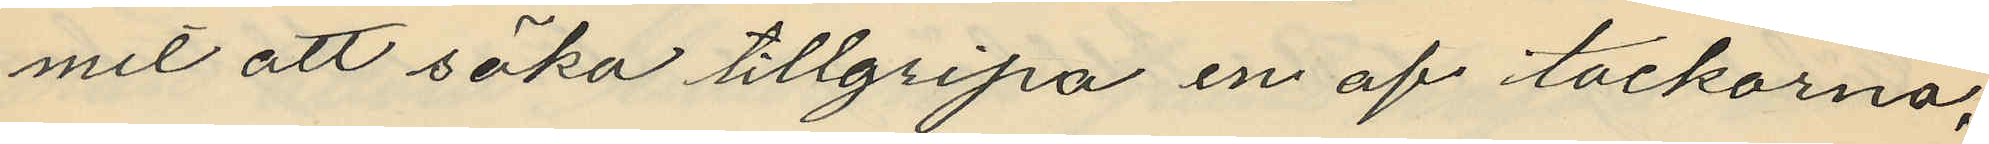mit att söka tillgripa en af tackorna,
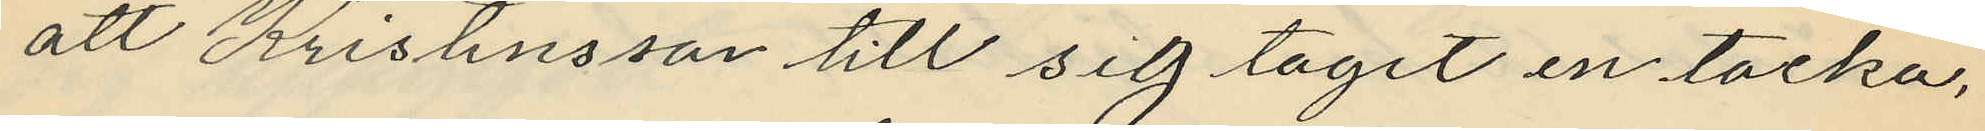att Kristensson till sig tagit en tacka,
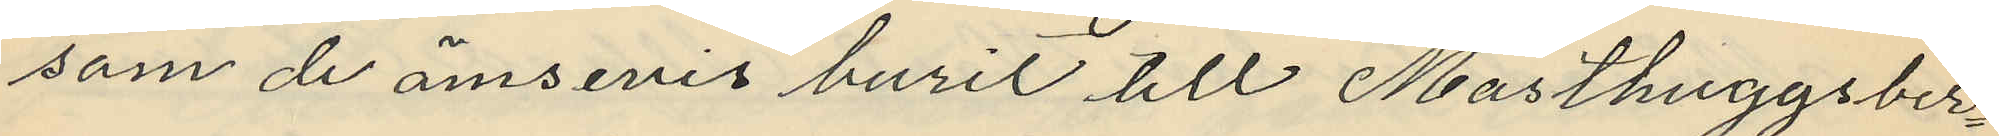som de ömsevis burit till Masthuggsber¬
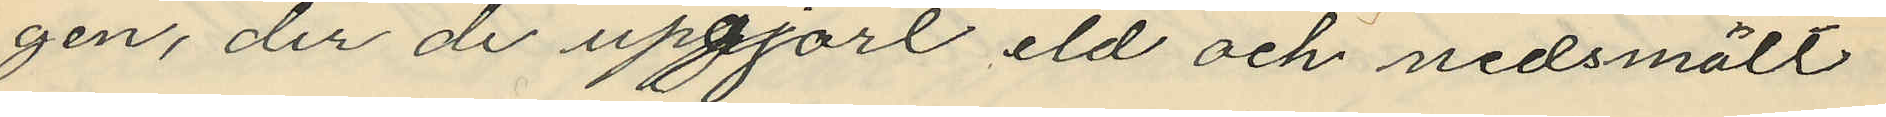gen, der de uppgort eld och nedsmält
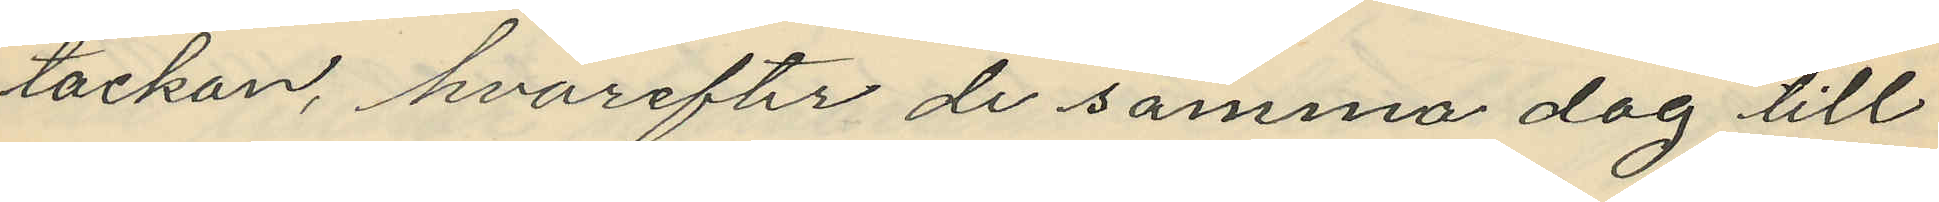tackan, hvarefter de samma dag till
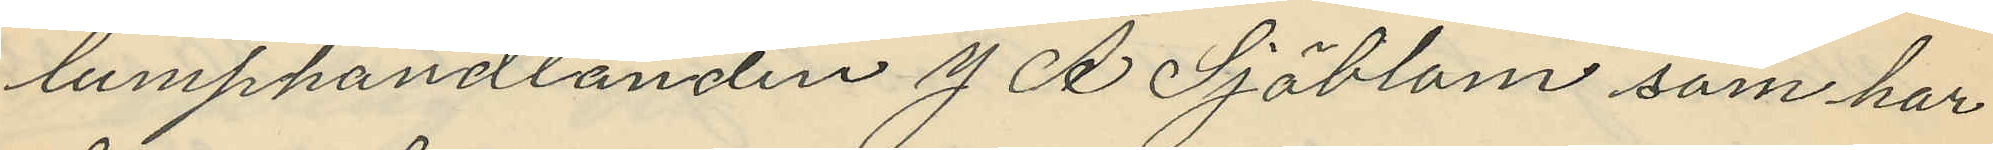lumphandlanden J. A Sjöblom som har
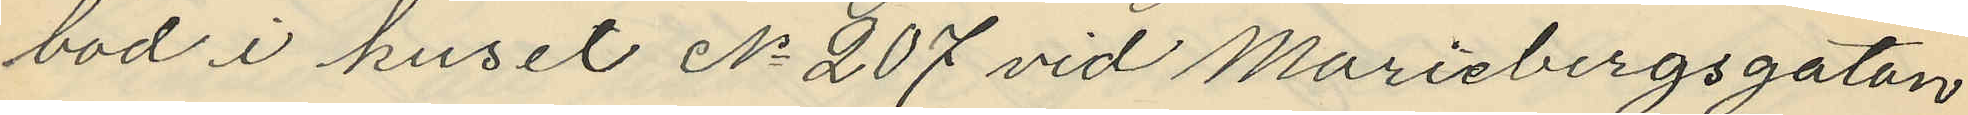bod i huset No 207 vid Mariebergsgatan
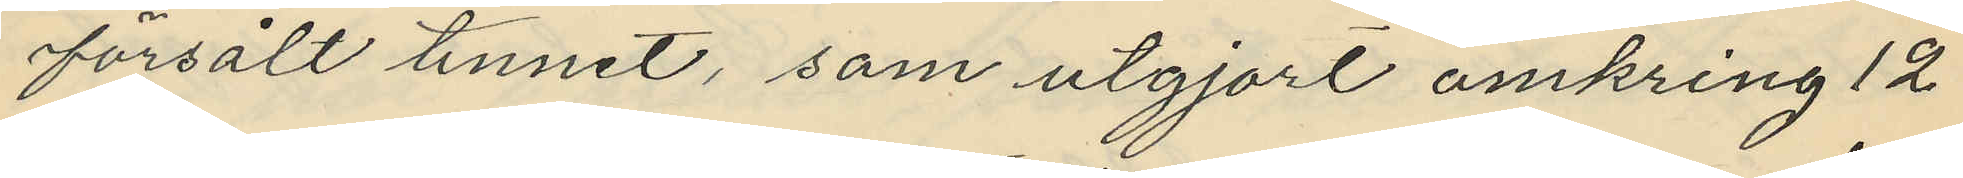försålt tennet, som utgjort omkring 12
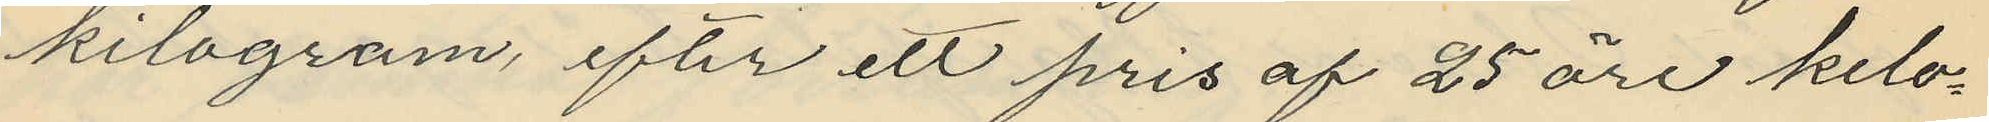kilogram, efter ett pris af 25 öre kilo¬
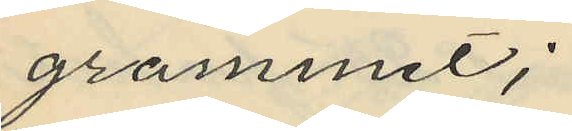grammet;
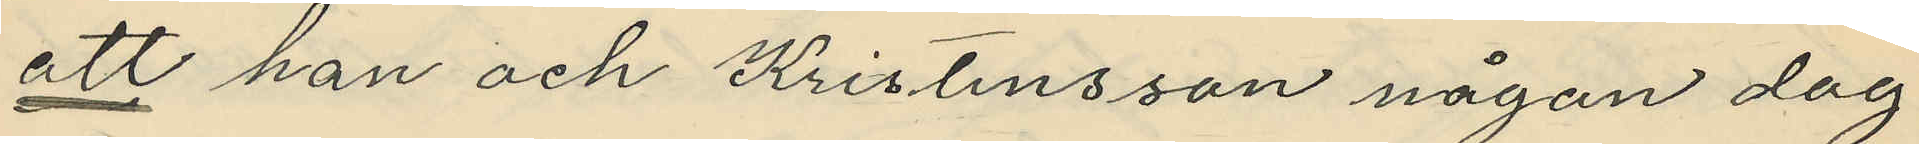att han och Kristensson någon dag
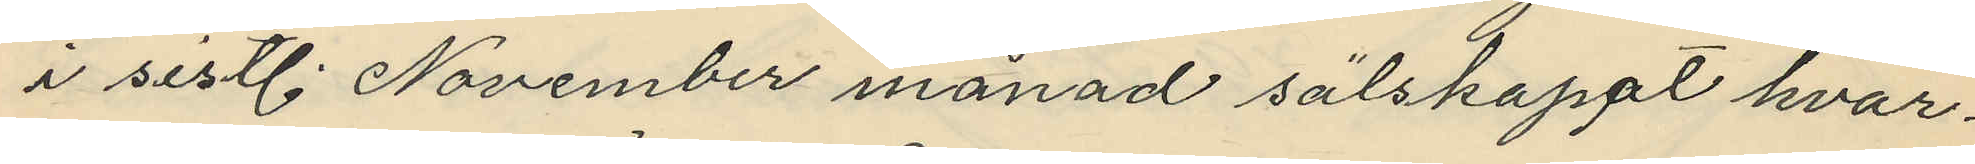i sistl. November månad sälskapat hvar¬
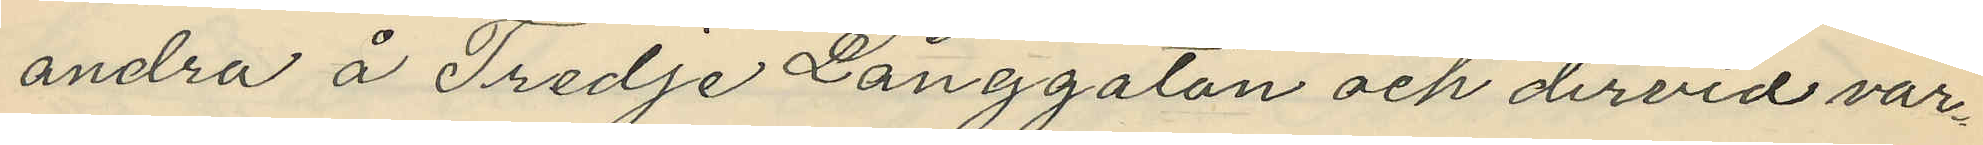andra å Tredje Långgatan och dervid var¬
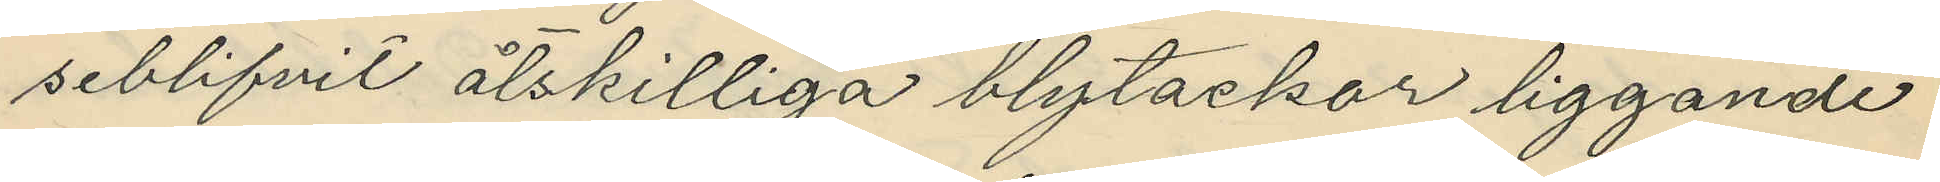seblifvit åtskilliga blytackor liggande
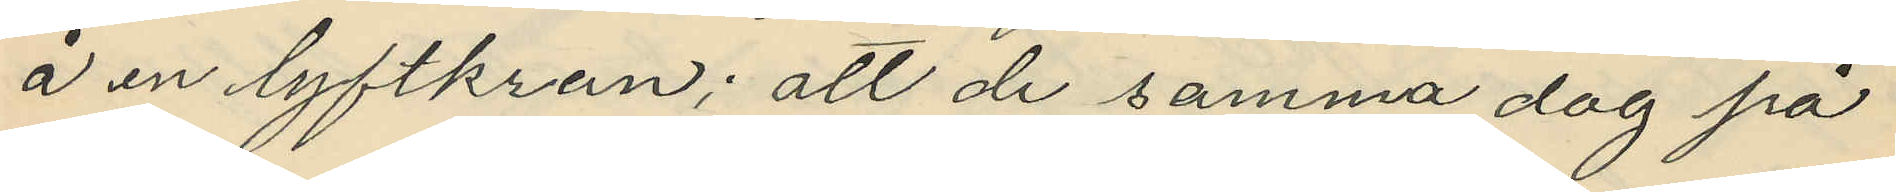å en lyftkran; att de samma dag på
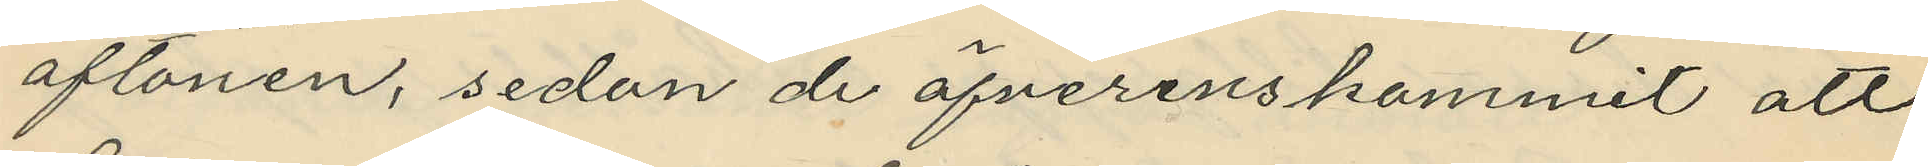aftonen, sedan de öfverenskommit att
